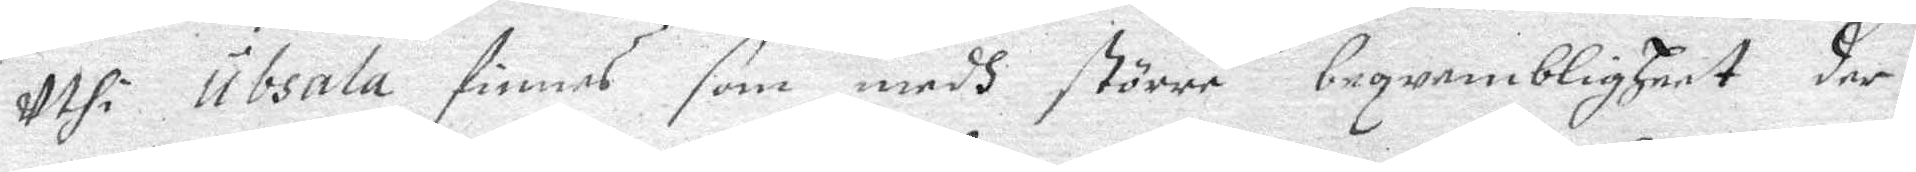uthi Ubsala finnes som medh större beqwembligheet der¬
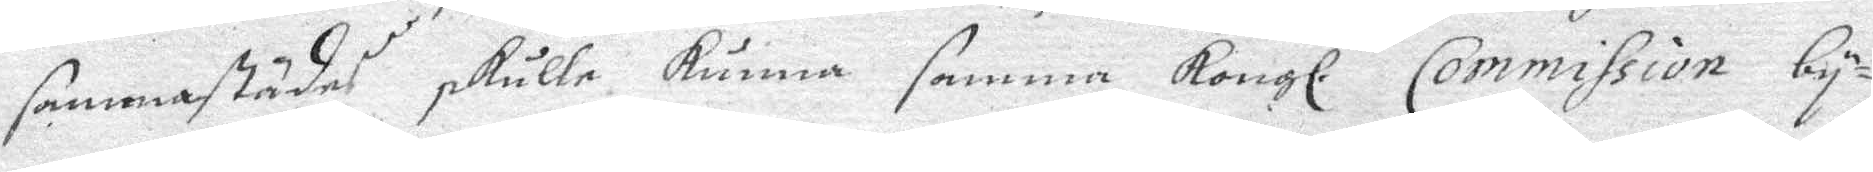sammastädes skulle kunna samma Kongl. Commission by¬
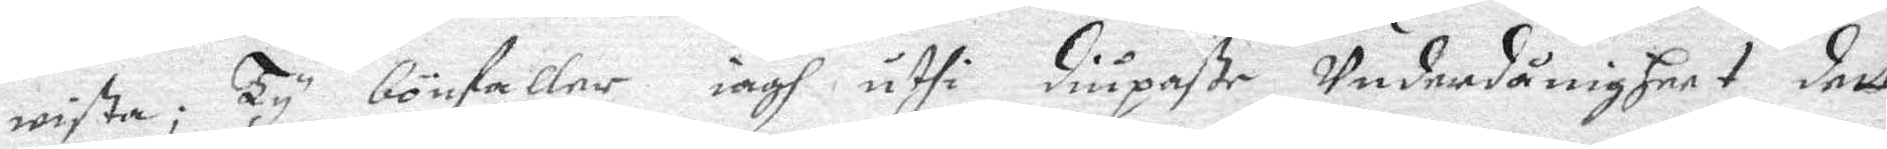wista; Ty bönfaller iagh uthi diupaste Underdånigheet deet
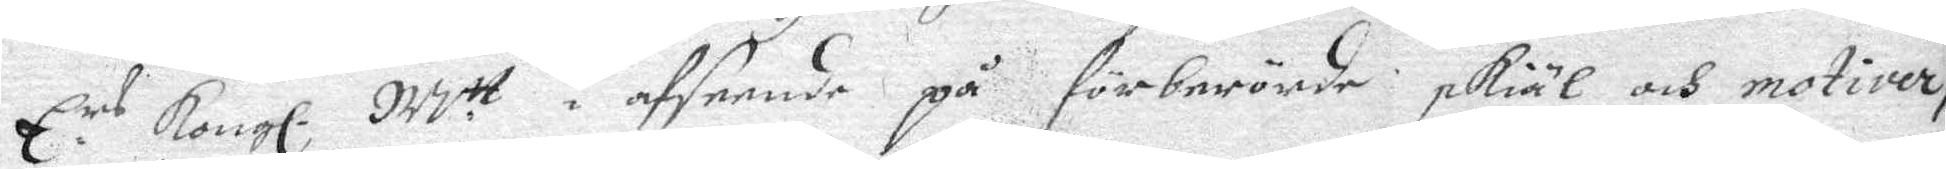E. rs Kongl. M tt i afseende på förberörde skiäl och motiver, 
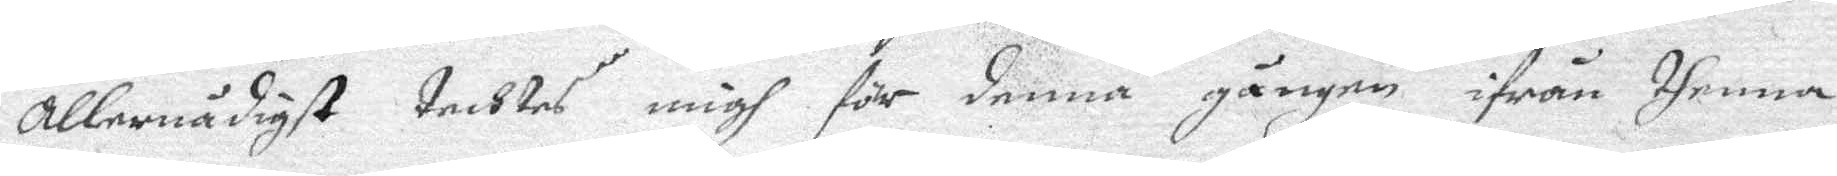allernådigst tecktes migh för denna gången ifrån thenna
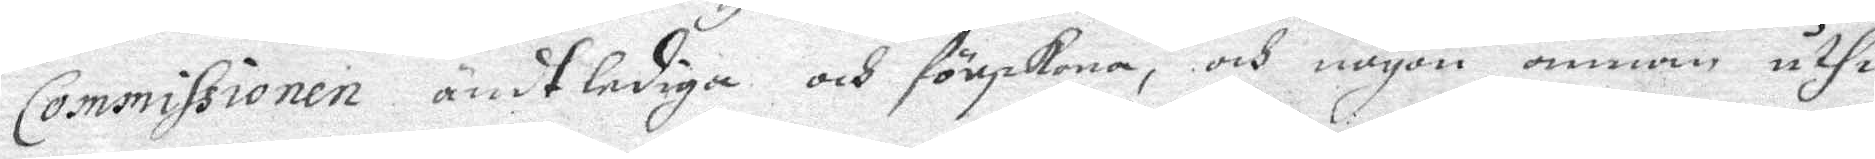Commissionen ändtlediga och förskona, och nogon annan uthi
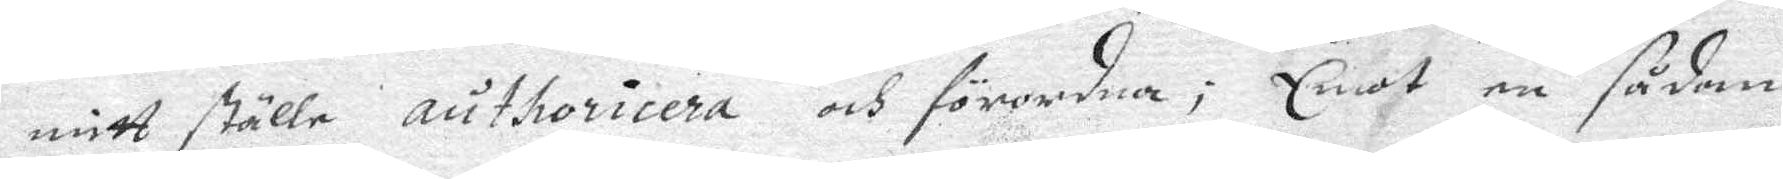mitt ställe authoricera och förordna; Emot en sådan
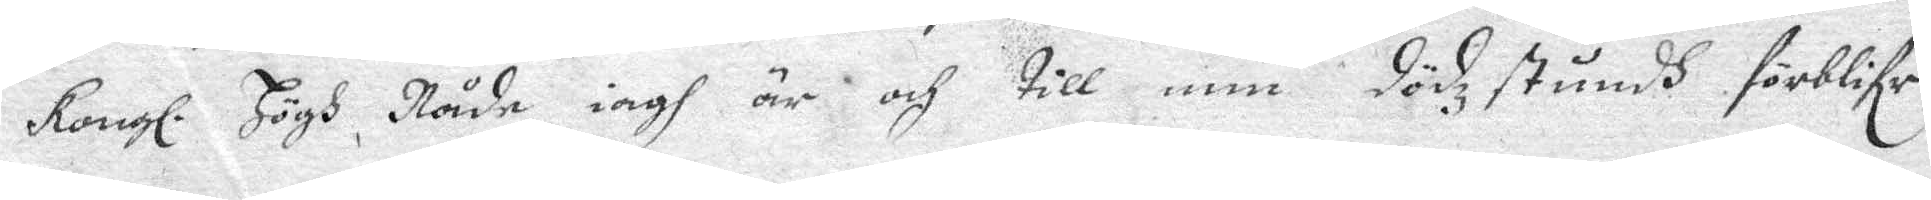Kongl. Högh Nåde iagh är och till min dödzstundh förbliflr
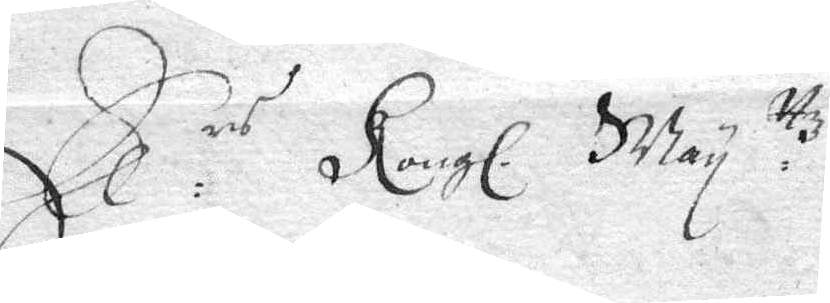Ee rs Kongl. May ttz
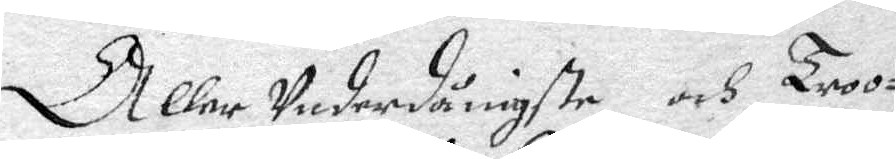Aller Underdånigste och Troo¬
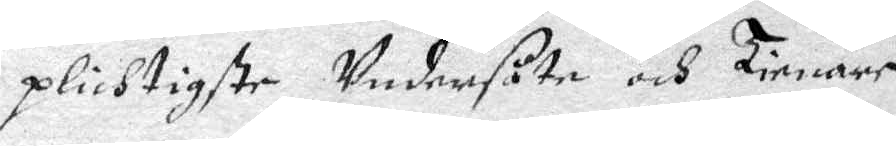plichtigste Undersåte och Tienare
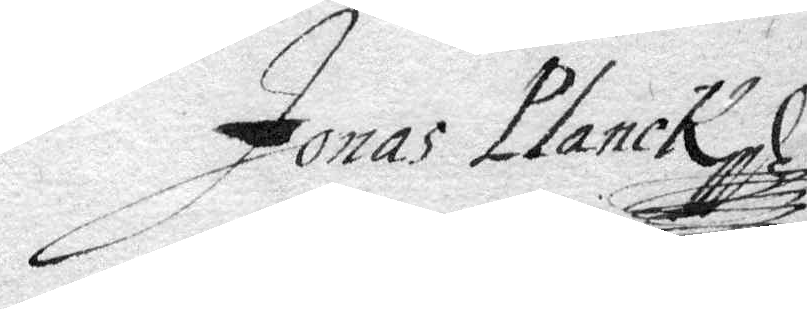Jonas Planck
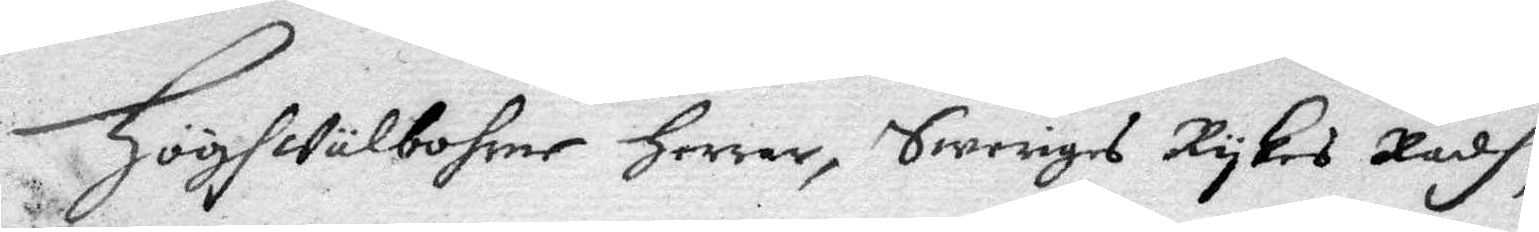Högwälborne Herrar, Sweriges Rykes Rådh;
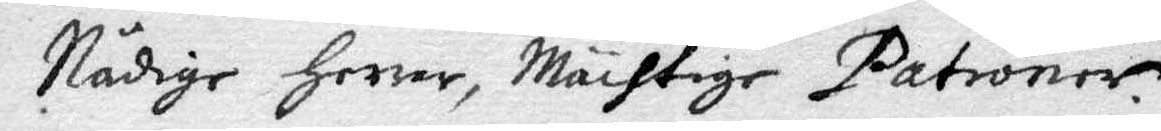Nådige Herrar, Mächtige Patroner.
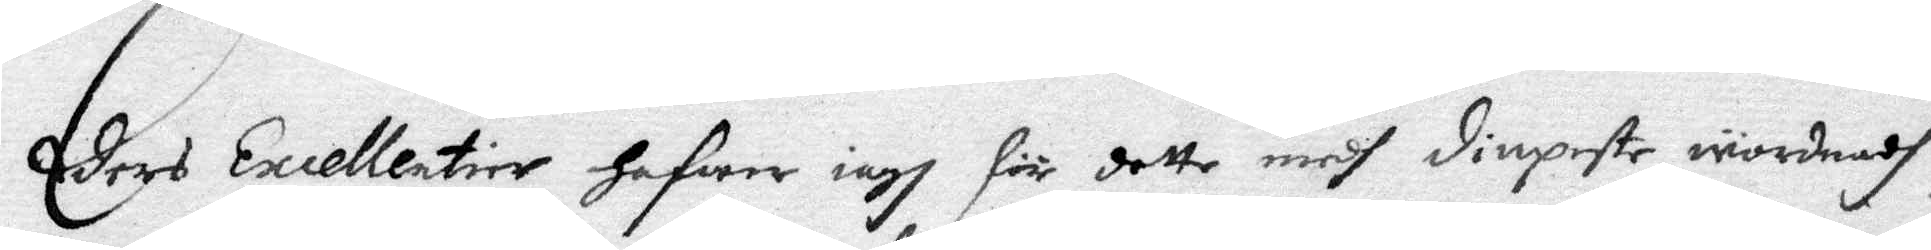Eders Excellentier iagh för dette medh diupeste wördnadh
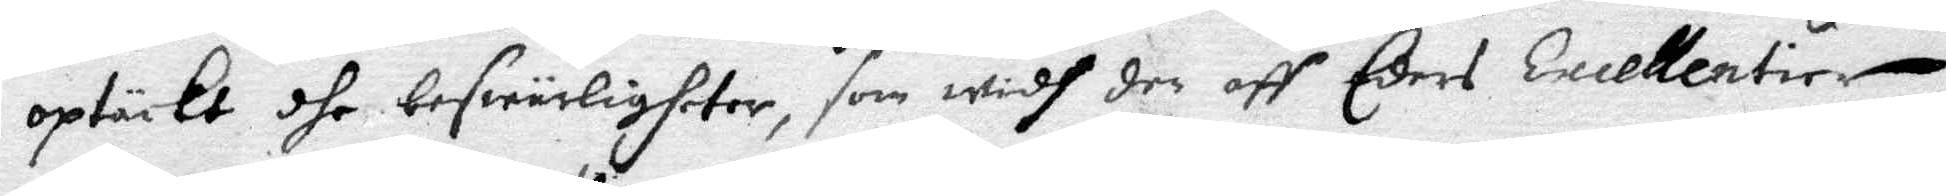optäckt dhe beswärligheter, som widh der aff Eders Excellentier
